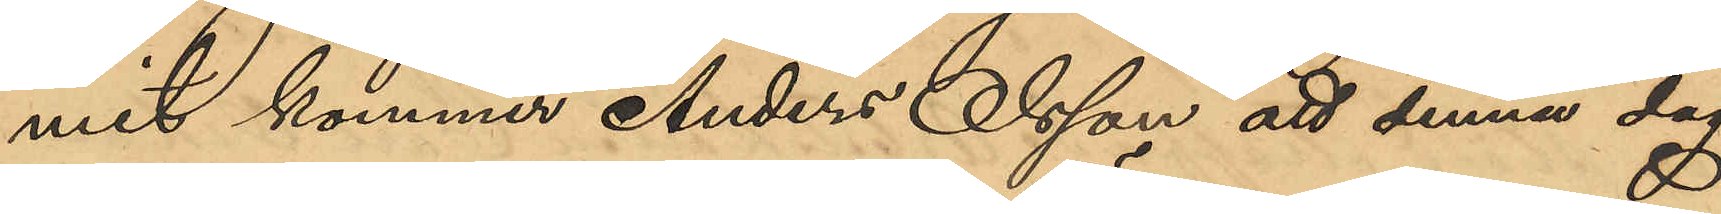mit kommer Anders Olsson att denna dag
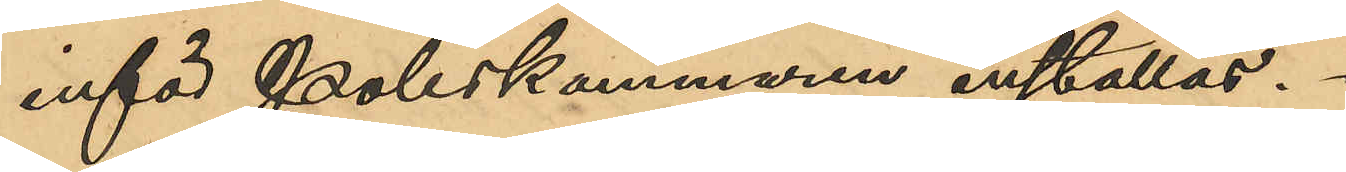inför Poliskammaren inställas.
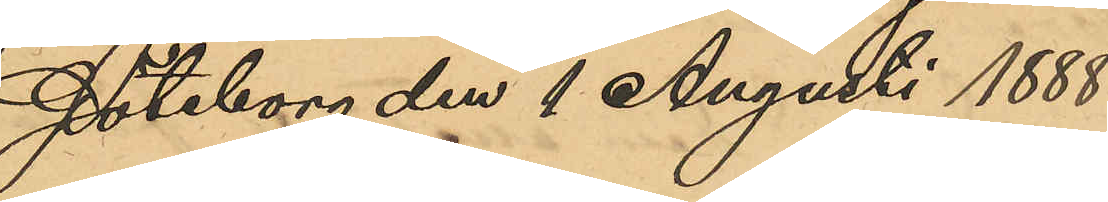Göteborg den 1 Augusti 1888
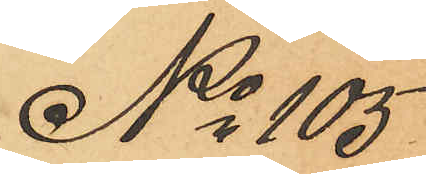No 105
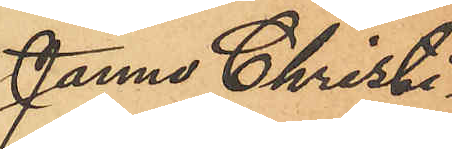Janne Christi¬
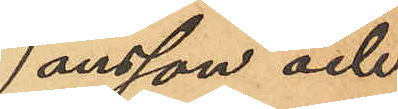ansson och
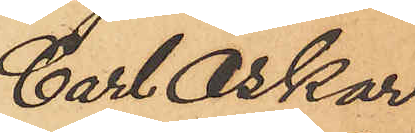Carl Oskar
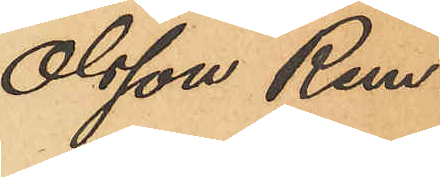Olsson Rem.
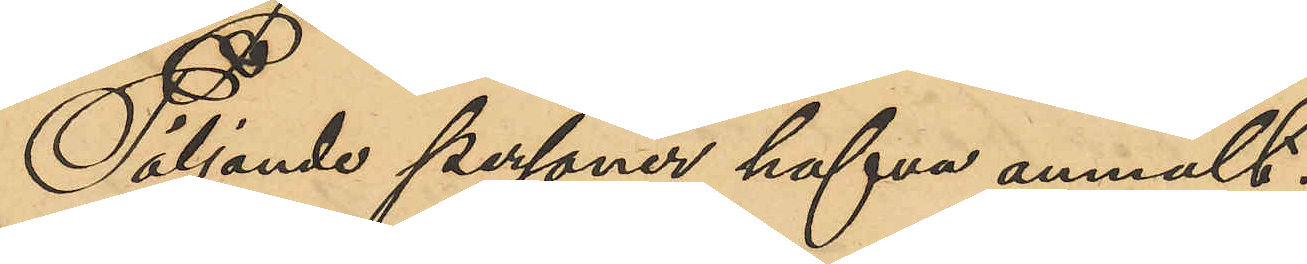Följande personer hafva anmält:
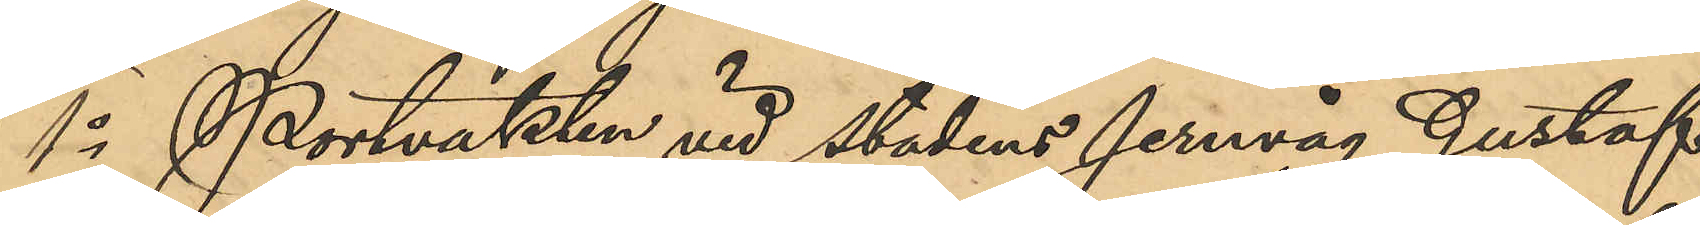1o Portvakten vid stadens Jernvåg Gustaf
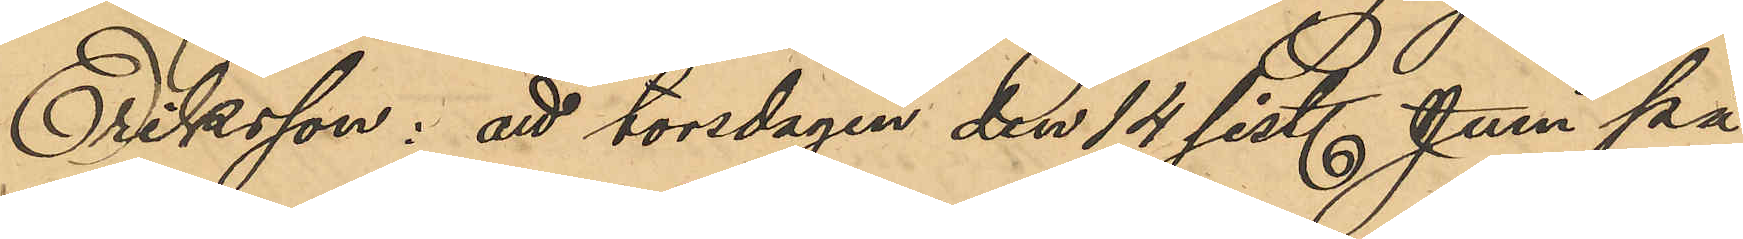Eriksson: att torsdagen den 14 sist. Juni på
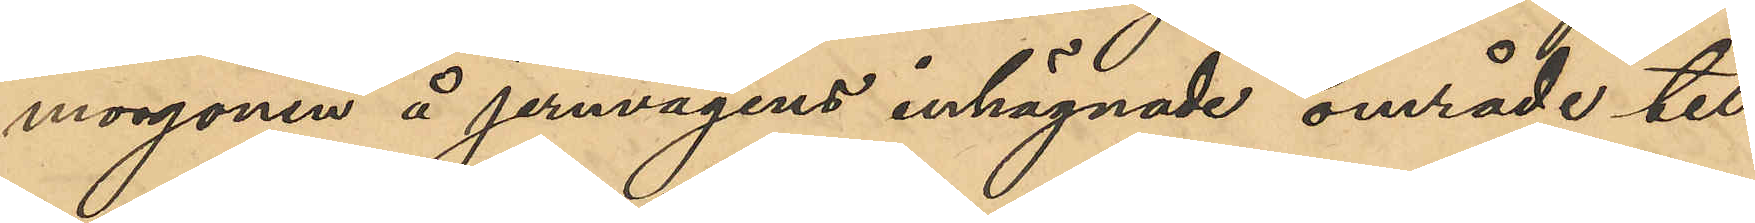morgonen å jernvågens inhägnade område till¬
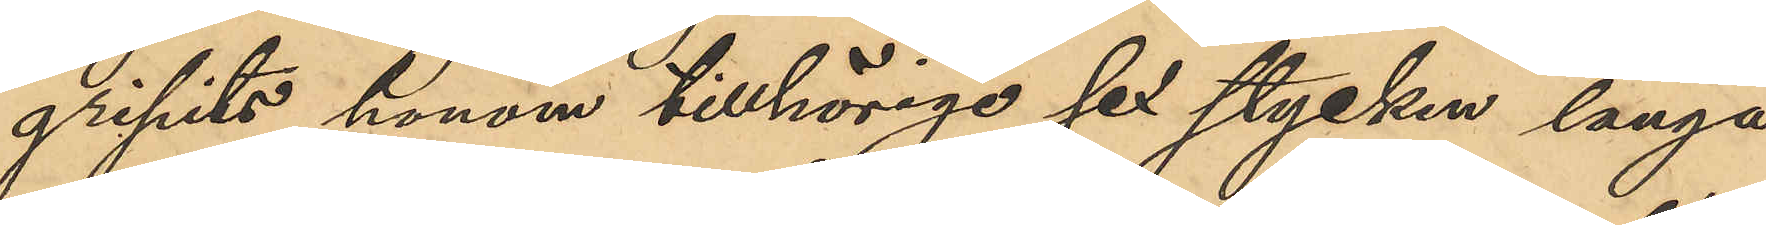gripits honom tillhörige sex stycken långa
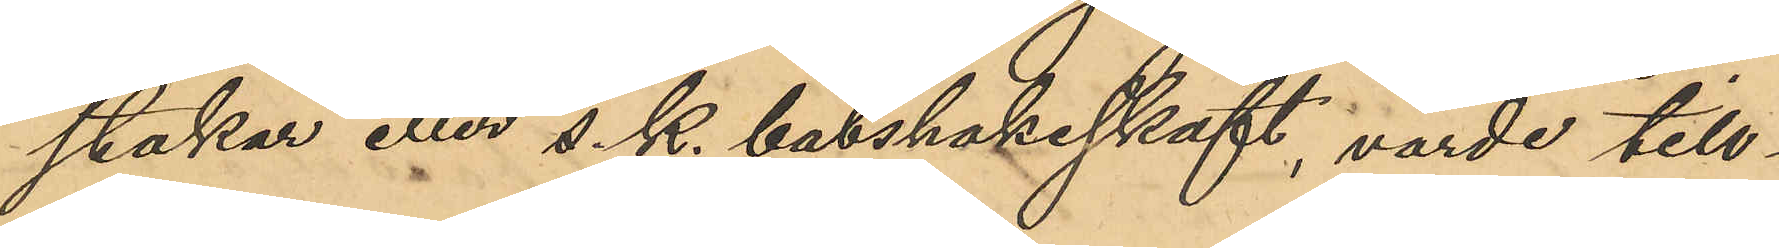stakar eller s. k. båtshakeskaft, värde till¬
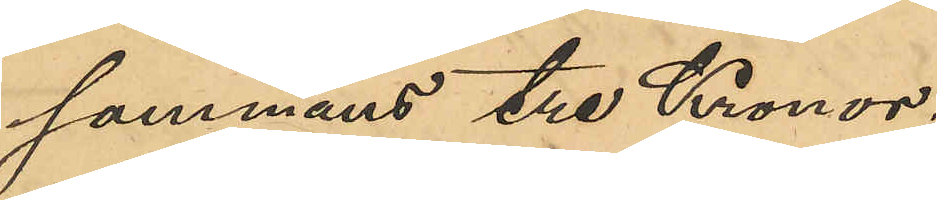sammans tre Kronor;
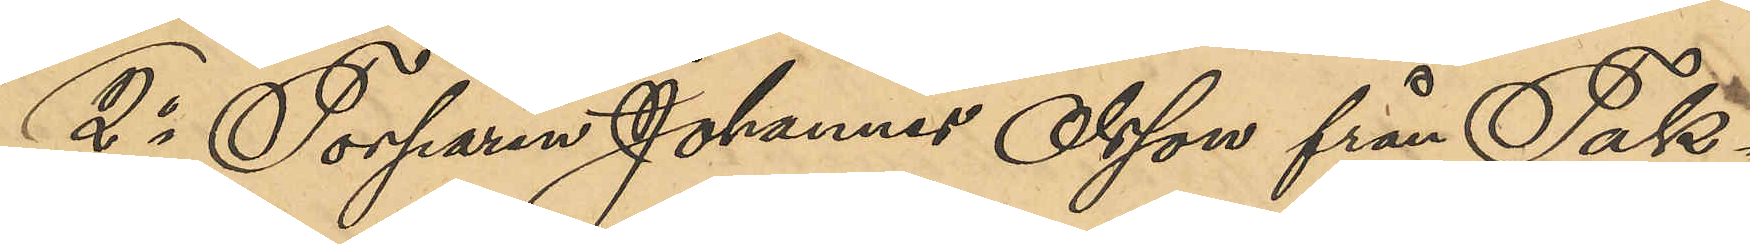2o Torparen Johannes Olsson från Tak¬
